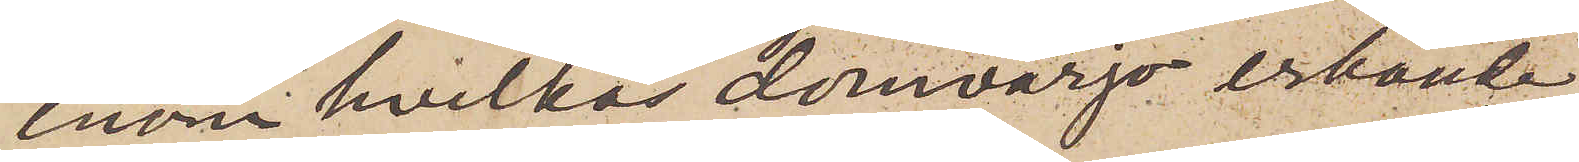inom hvilkas domvärjo erkände
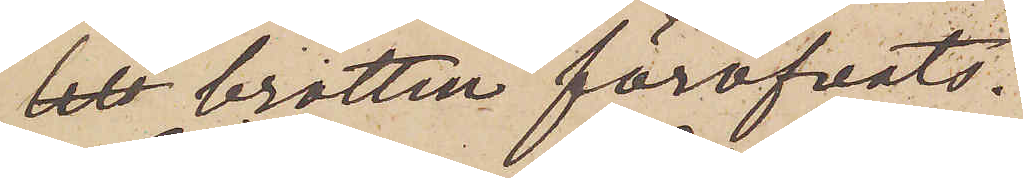 brotten föröfvats.
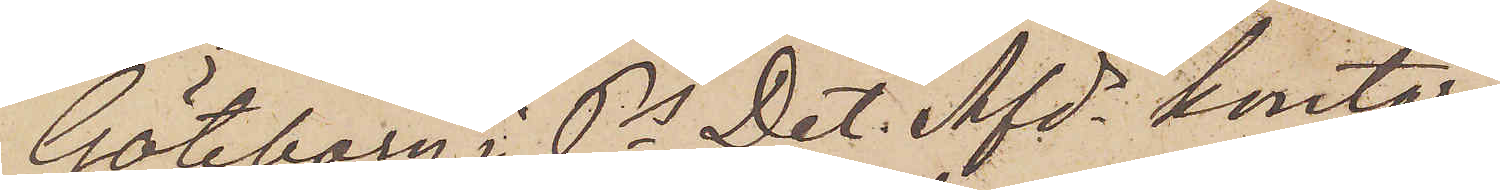Göteborg i Ps Det. Afds kontor
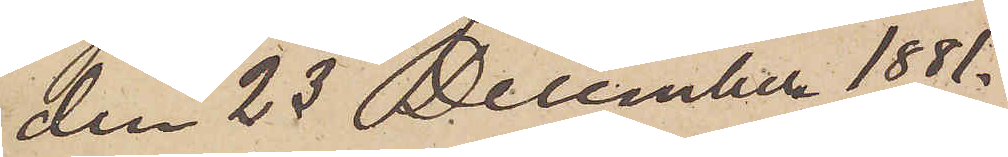den 23 December 1881.
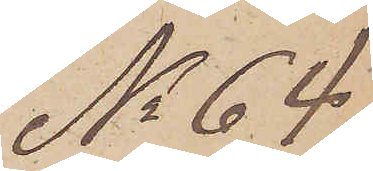No 64
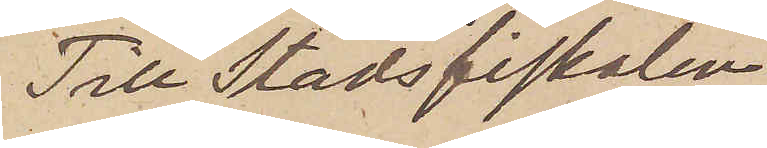Till Stadsfiskalen
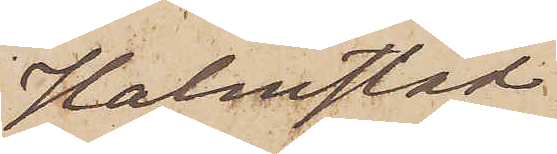Halmstad
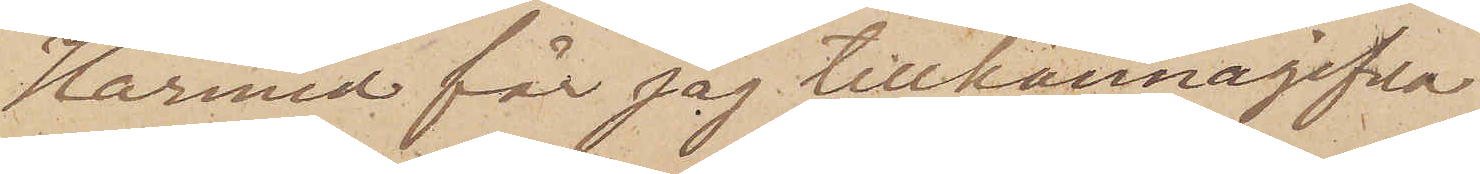Härmed får jag tillkännagifva
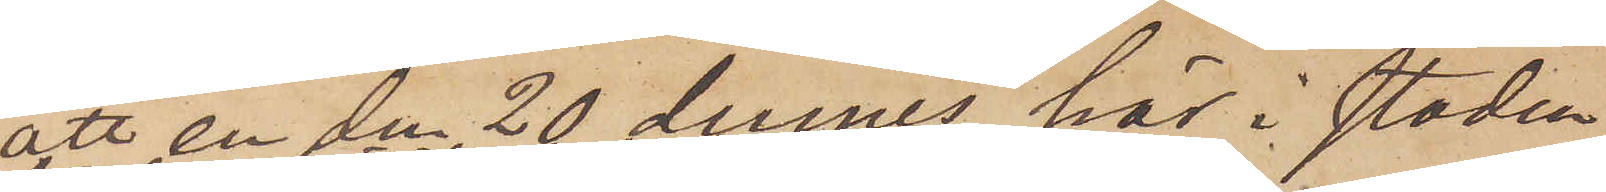att en den 20 dennes här i staden
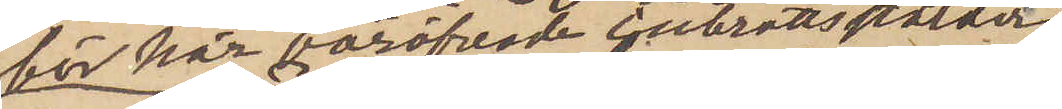för här föröfvade inbrottsstölder
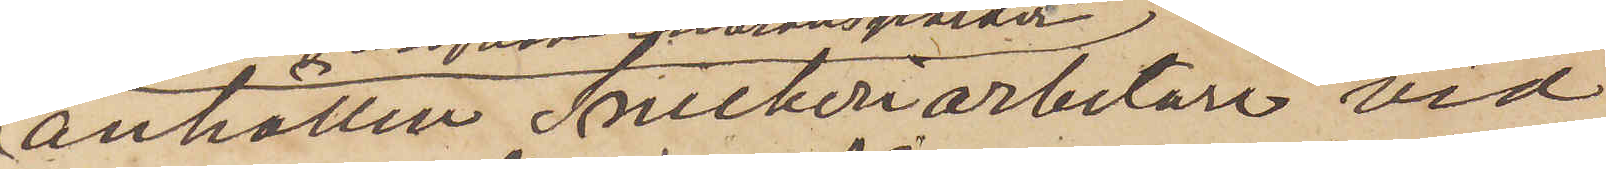anhållen Snickeriarbetare vid
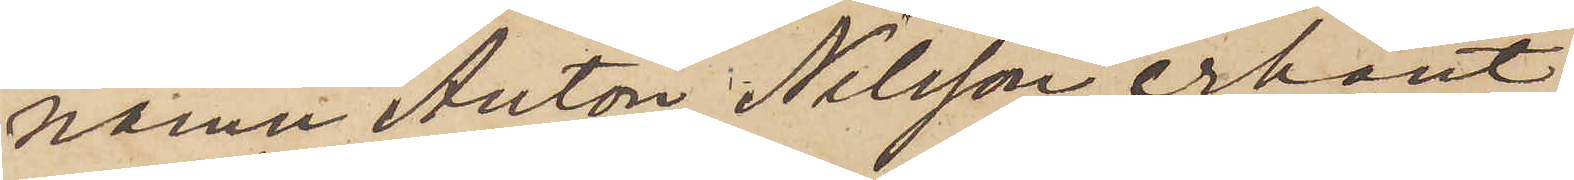namn Anton Nilsson erkänt
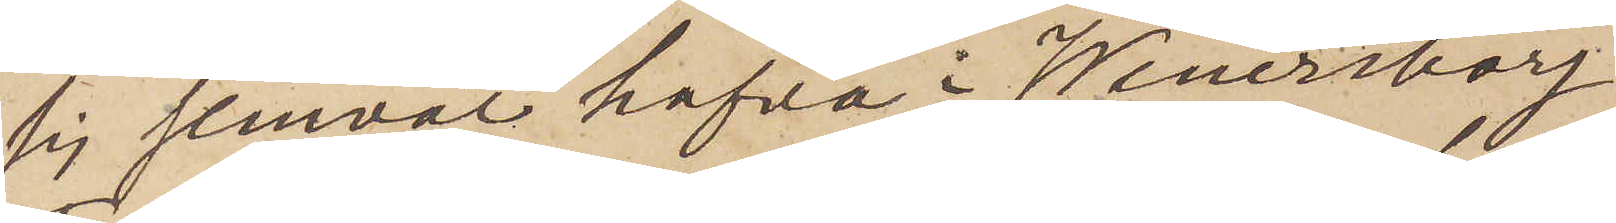sig jemväl hafva i Wenersborg
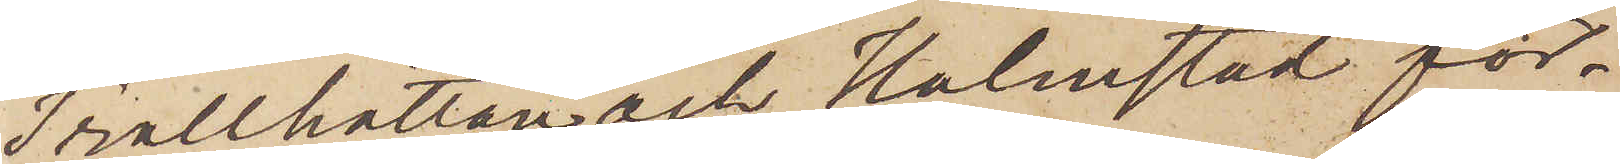Trolthättan och Halmstad för¬
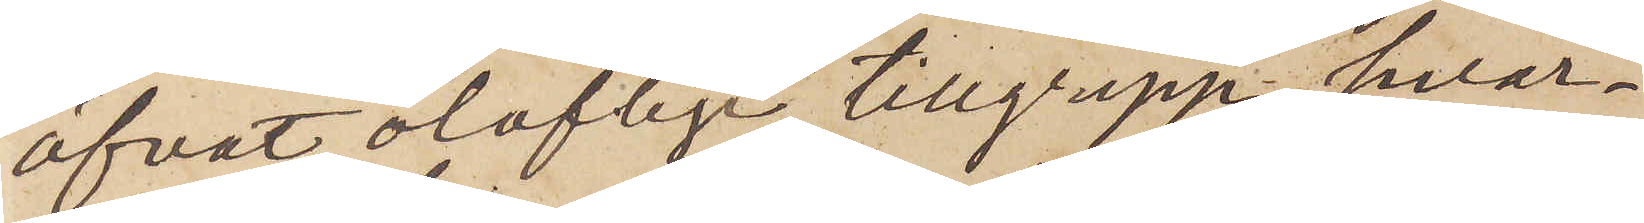öfvat oloflige tillgrepp, hvar¬
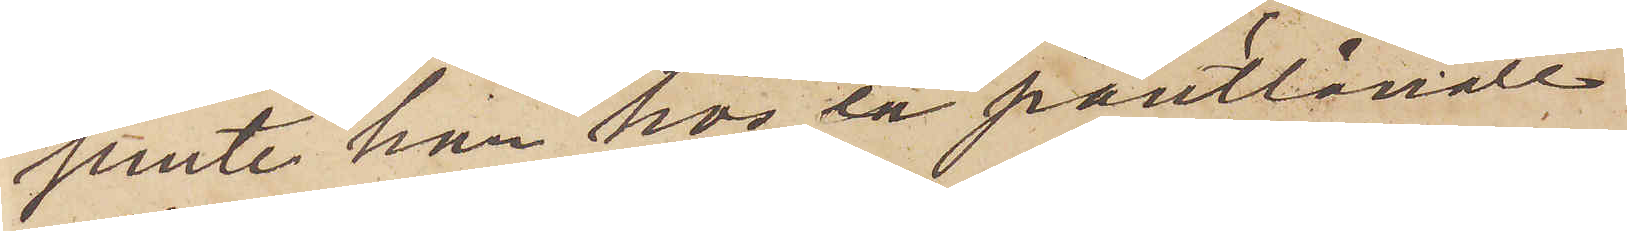jemte han hos en pantlånare
